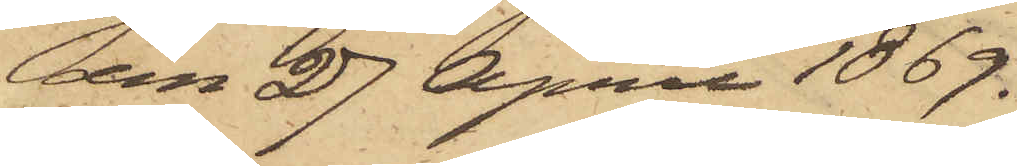den 27 April 1869.
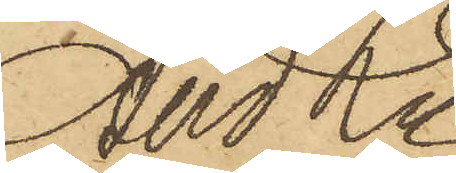And Ln
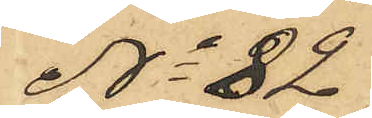No 82
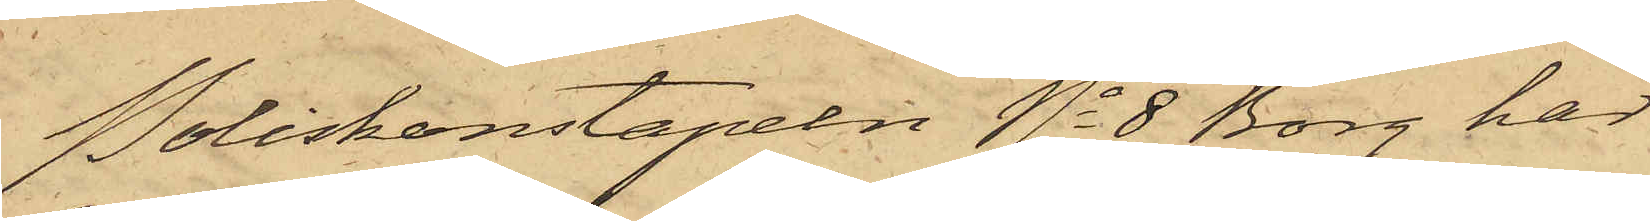Poliskonstapeln No 8 Borg har
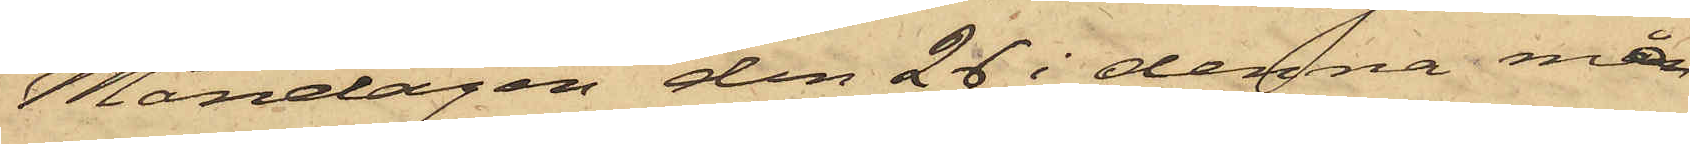Måndagen den 26 i denna mån¬
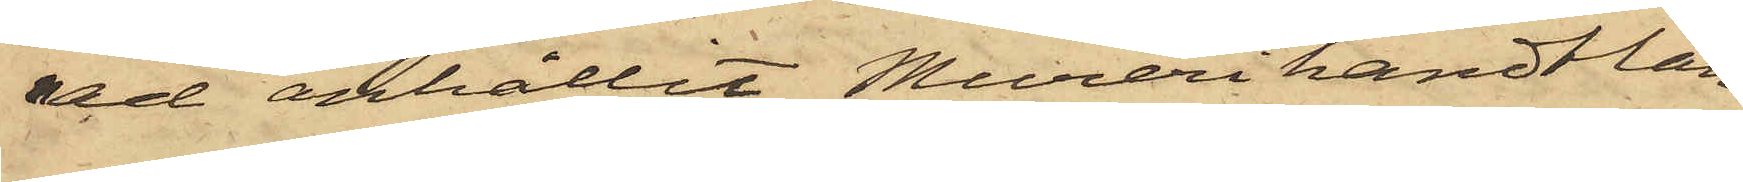ad anhållit Murerihandtlan¬
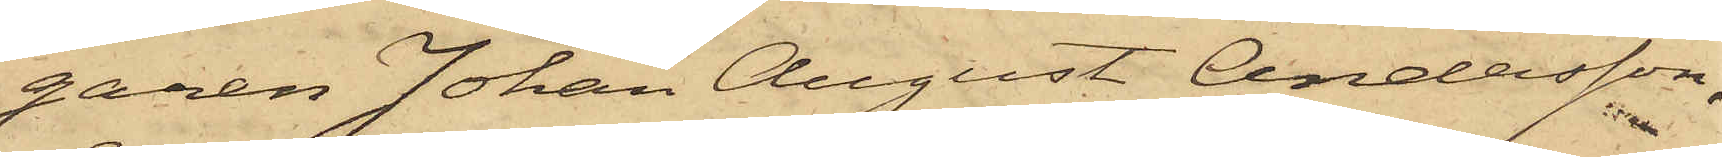garen Johan August Andersson,
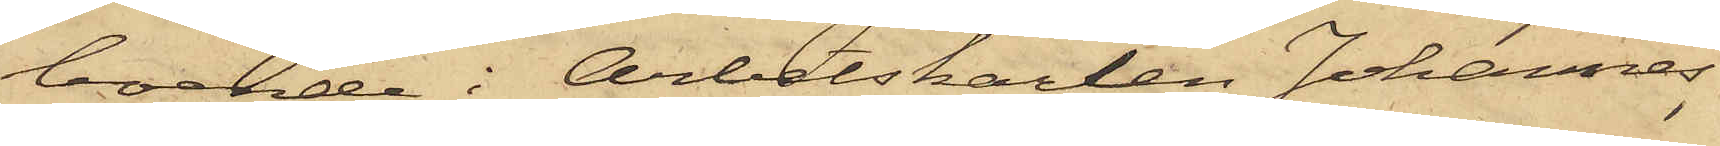boende i Arbetskarlen Johannes
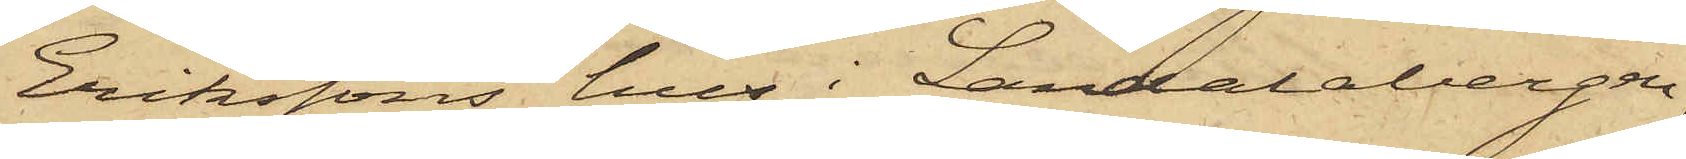Erikssons hus i Landalabergen,
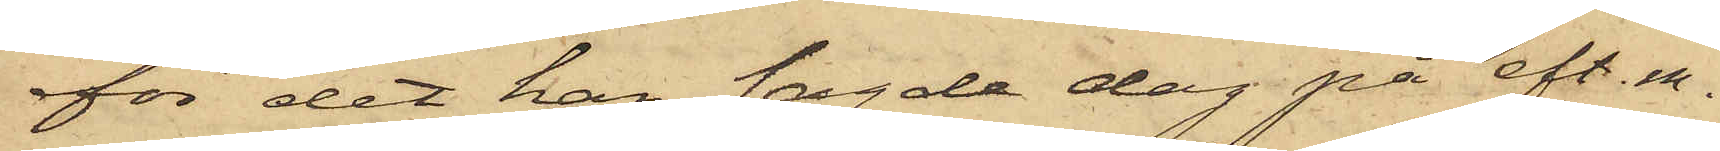för det han sagde dag på eft. m.
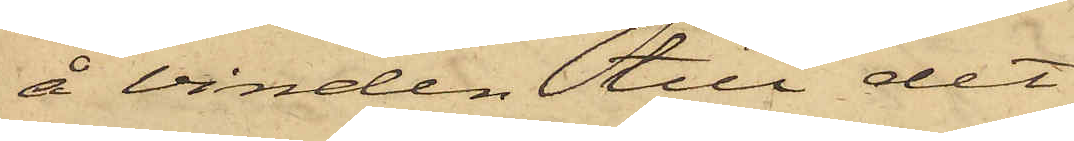å vinden till det
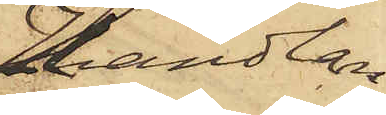Handlan¬
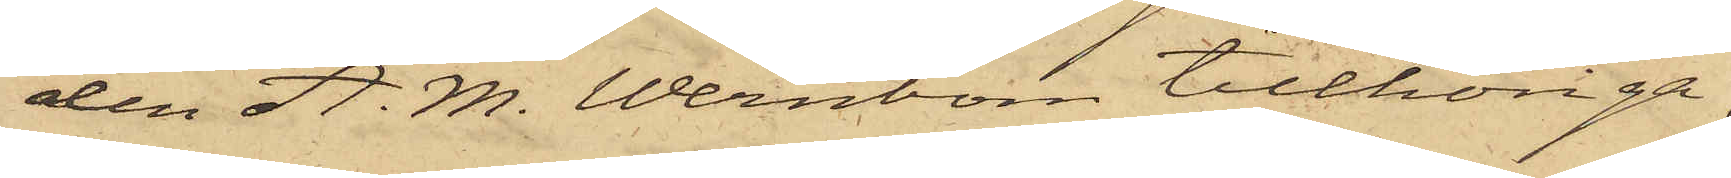den A. M. Wernbom tillhöriga,
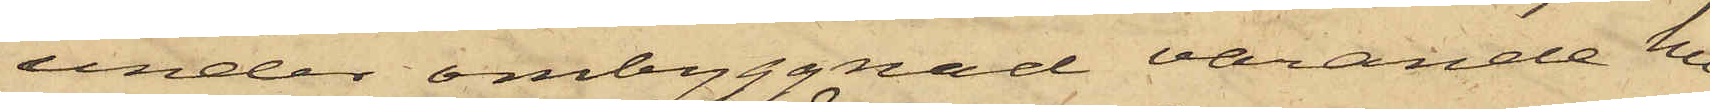under ombyggnad varande hu¬
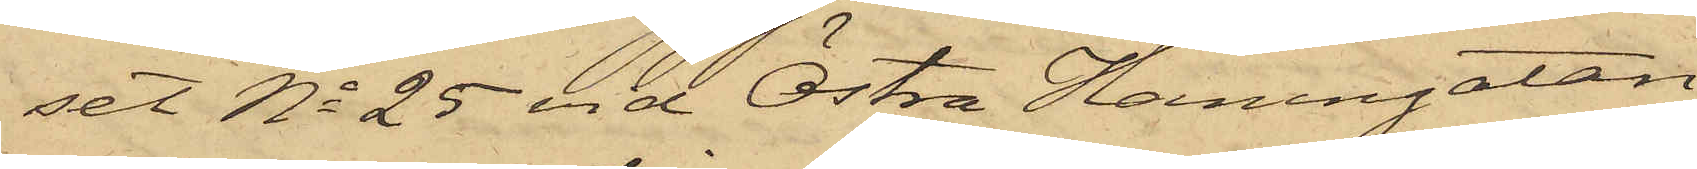set No 25 vid Östra Hamngatan
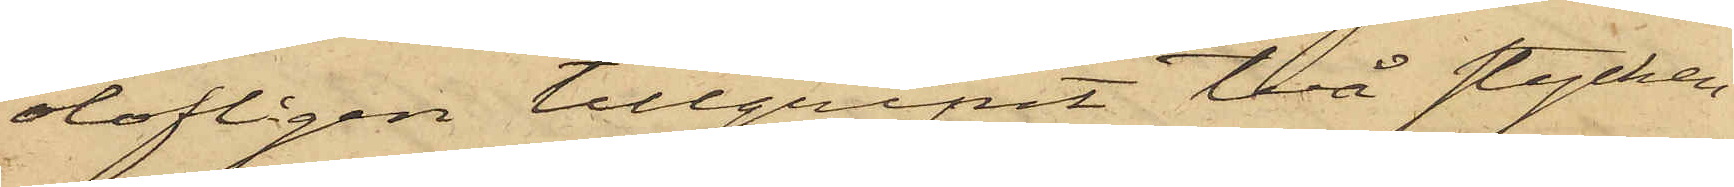olofligen tillgripit två stycken
